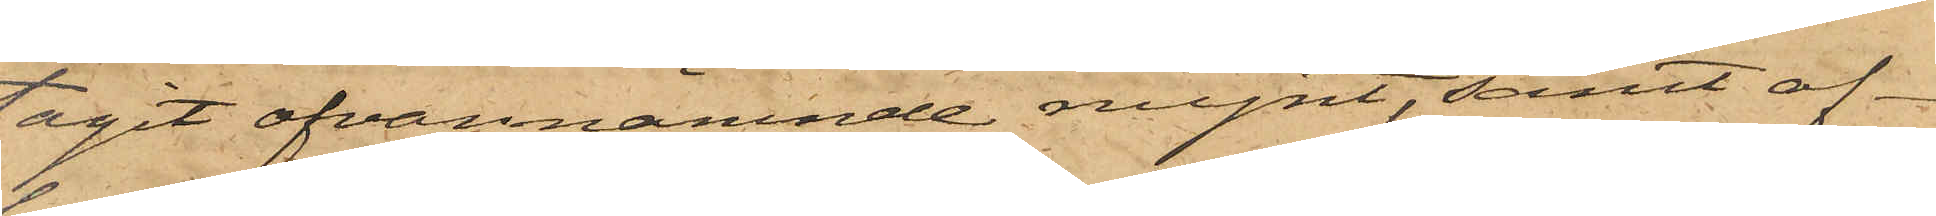tagit ofvannämnde mynt, samt af¬
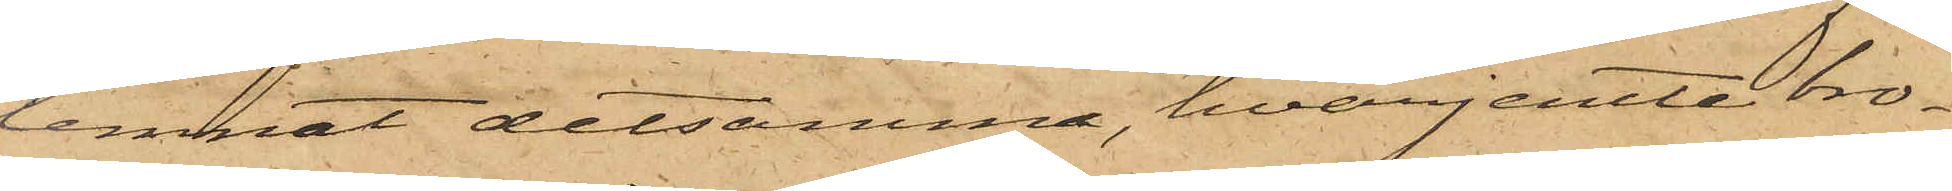lemnat detsamma, hvarjemte bro¬
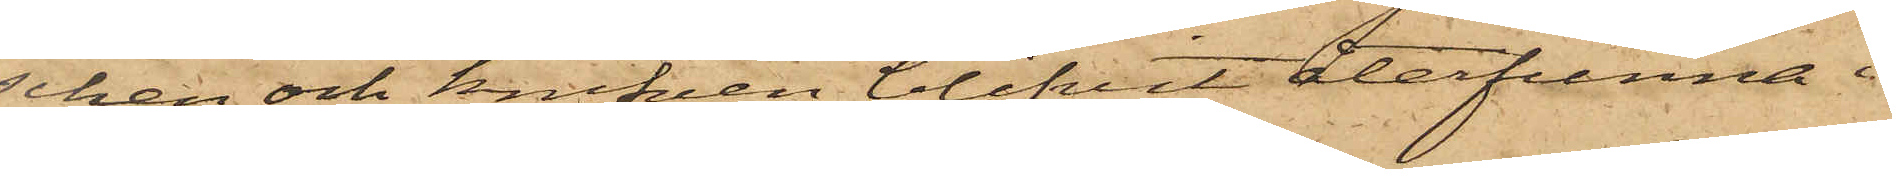schen och knifven blifvit återfunna i
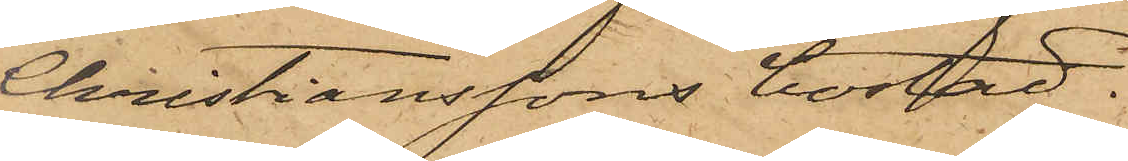Christianssons bostad.
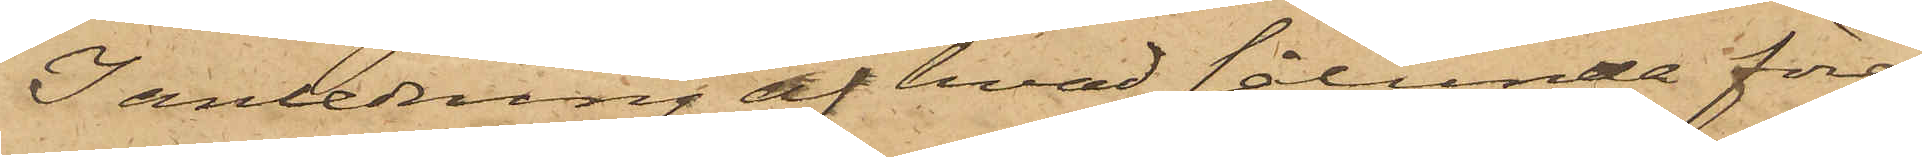I anledning af hvad sålunda före¬
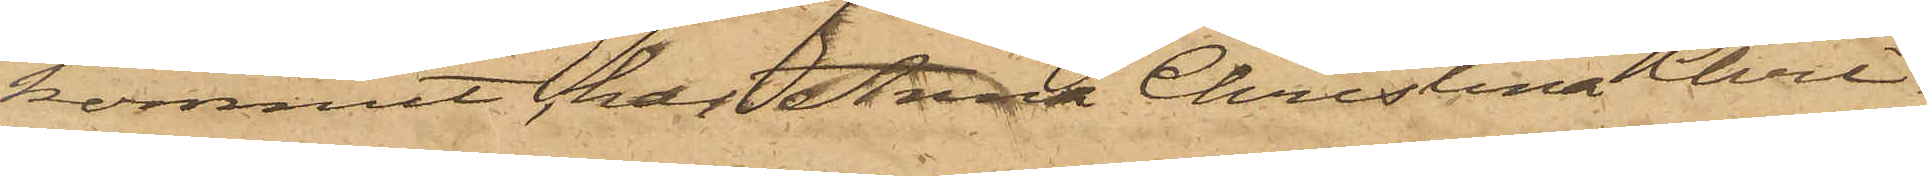kommit, har Anna Christina Chri¬
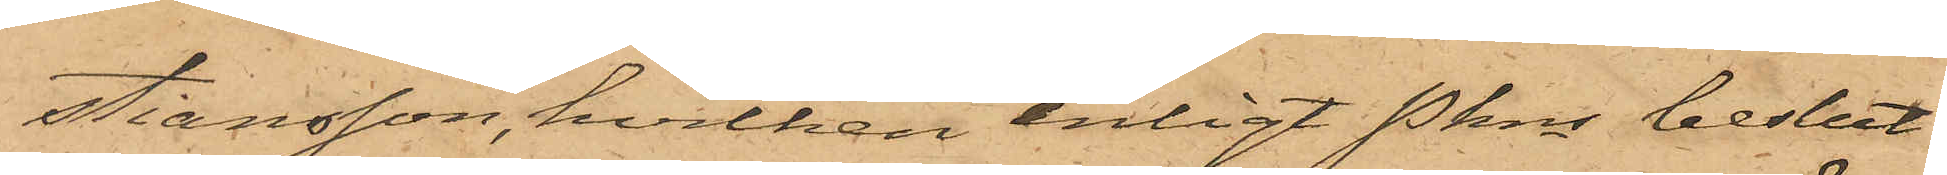stiansson, hvilken enligt Pkns beslut
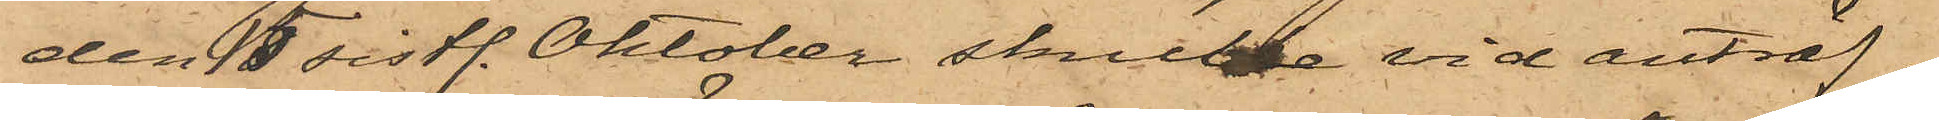den 15 sistl. Oktober skulle vid anträf¬
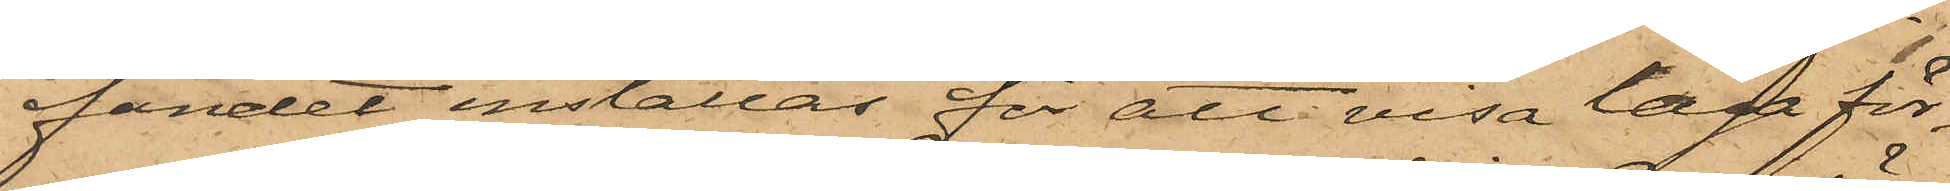fandet inställas för att visa laga för¬
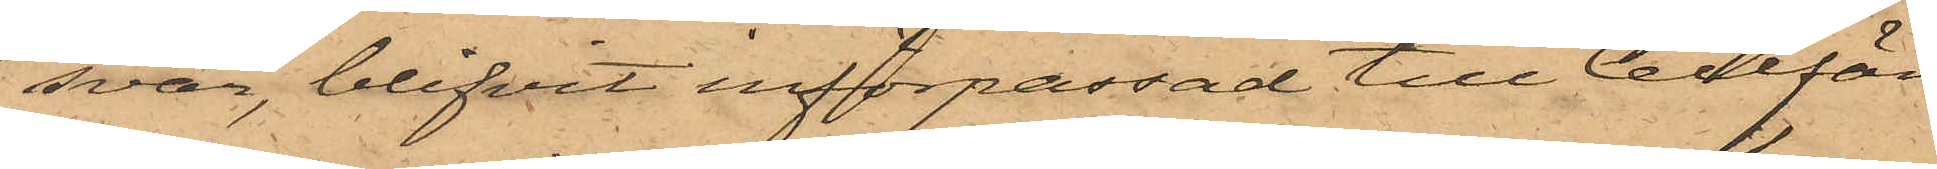svar, blifvit införpassad till Cellfän¬
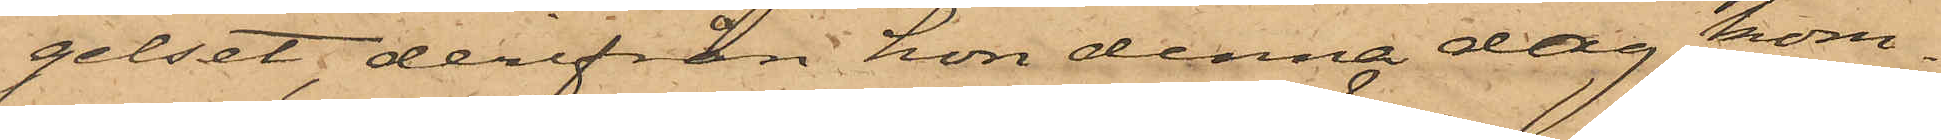gelset, derifrån hon denna dag kom¬
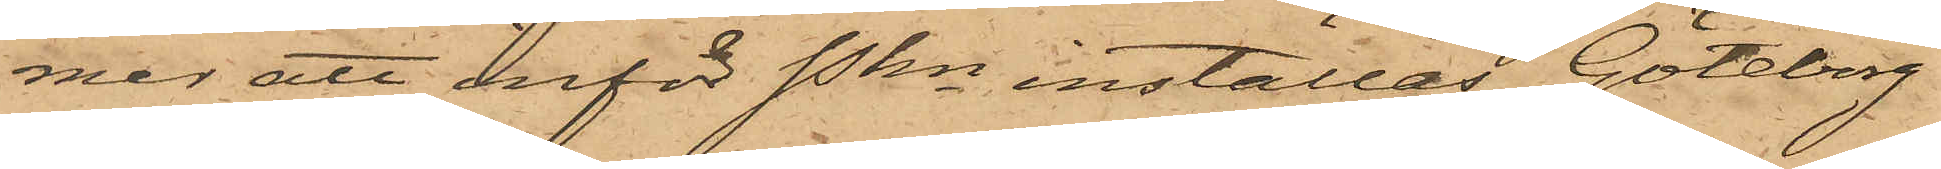mer att inför Pkn inställas. Göteborg
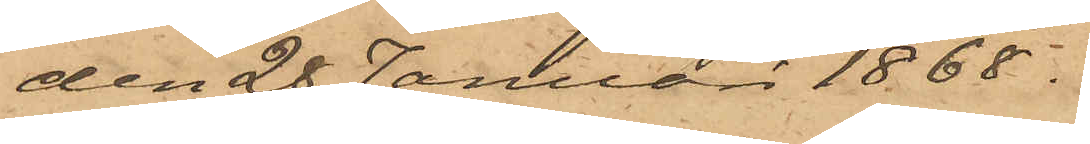den 28 Januari 1868.
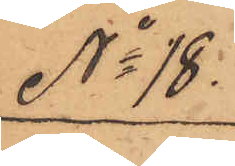No 18.
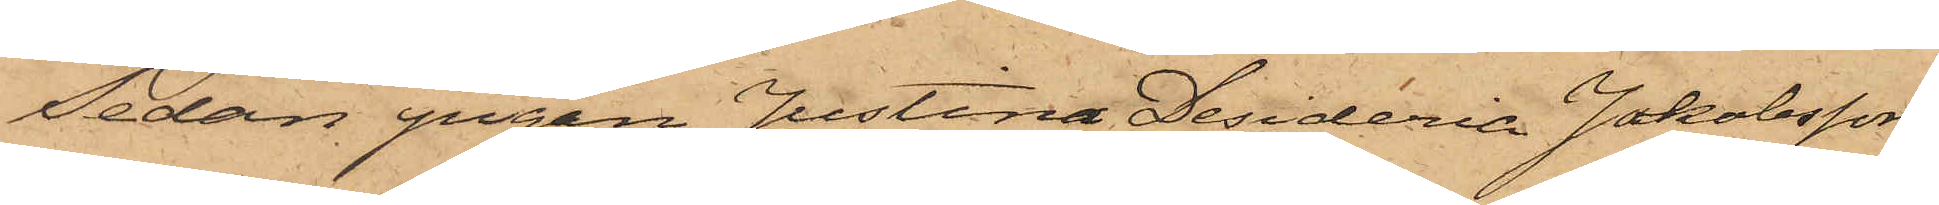Sedan pigan Justina Desideria Jakobsson,
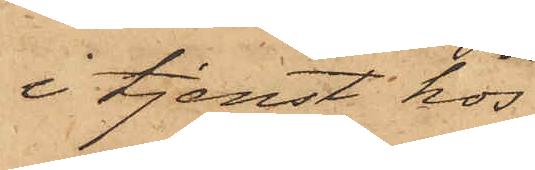i tjenst hos
